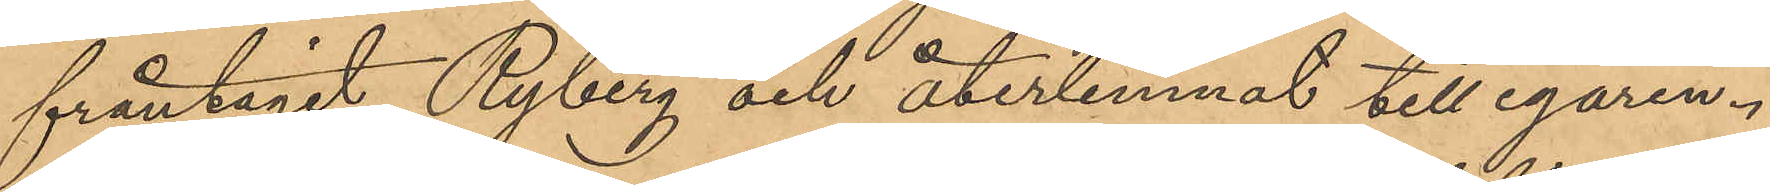fråntagit Ryberg och återlemnat till egaren.
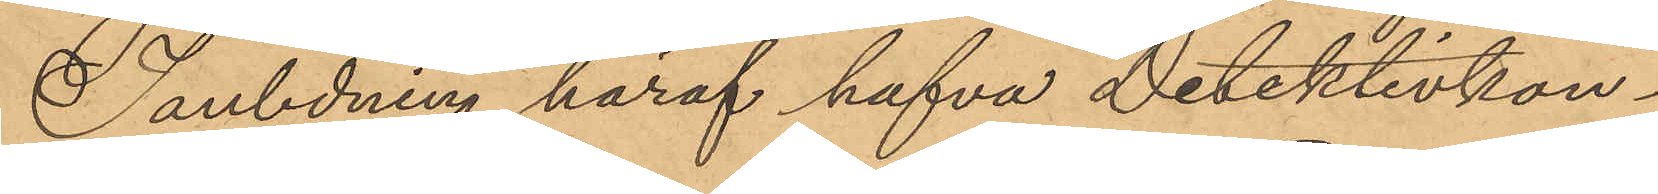I anledning häraf hafva Detektivkon¬
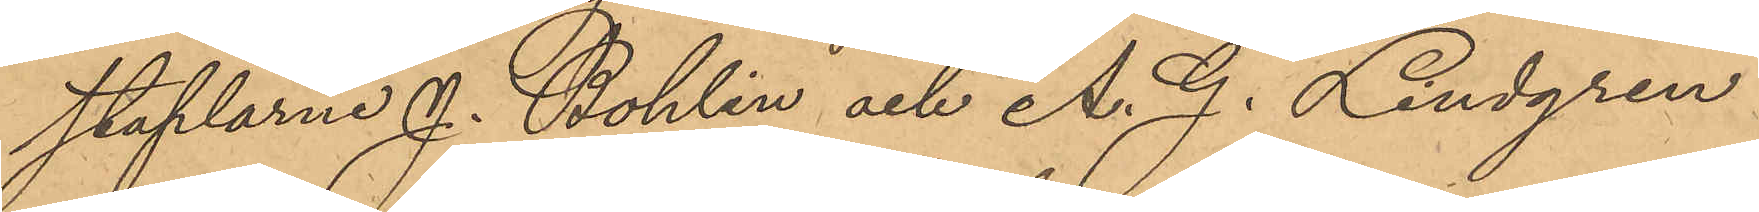staplarne J. Bohlin och A. G. Lindgren
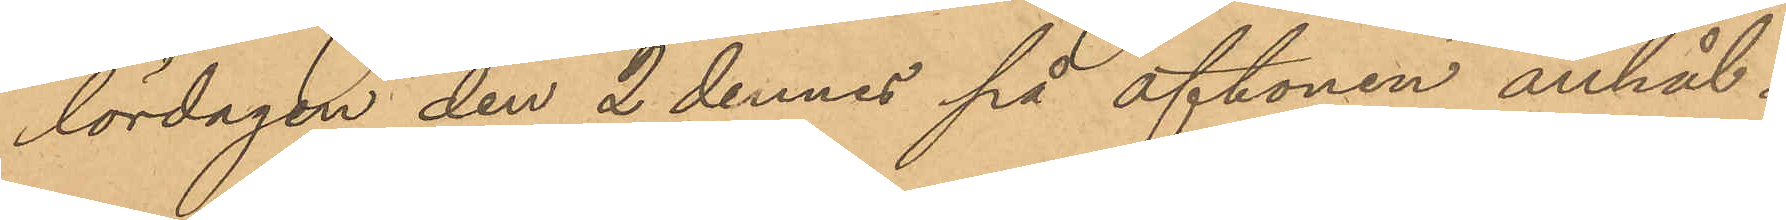lördagen den 2 dennes på aftonen anhål¬
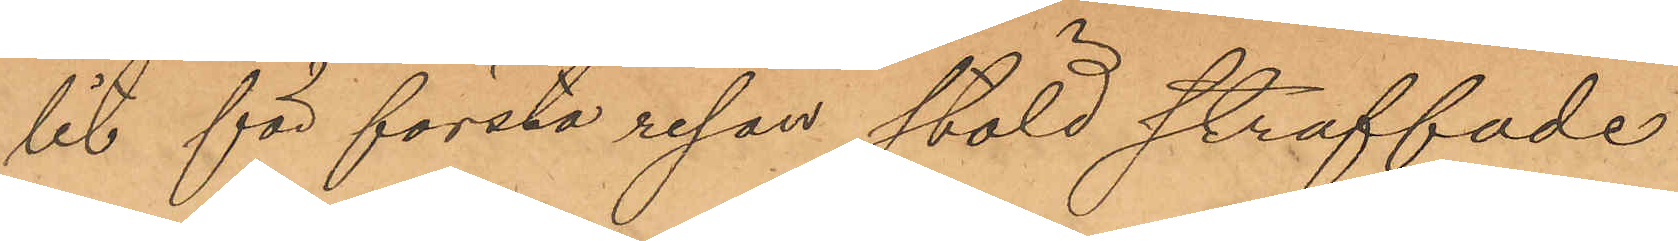lit för första resan stöld straffade
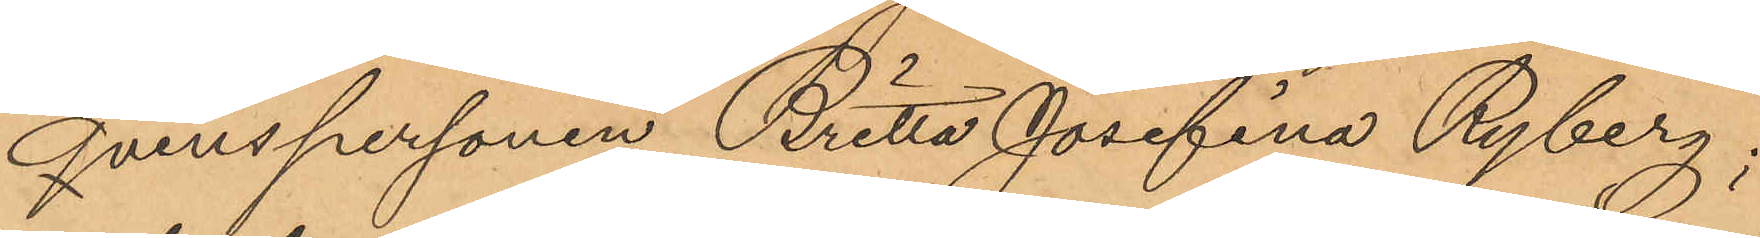qvinspersonen Britta Josefina Ryberg;
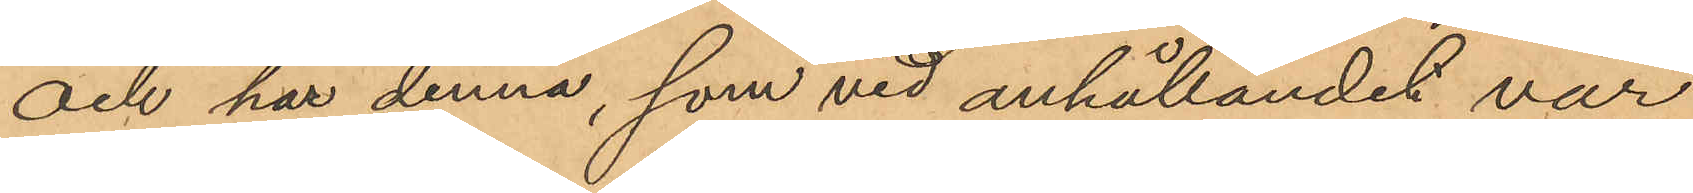och har denna, som vid anhållandet var
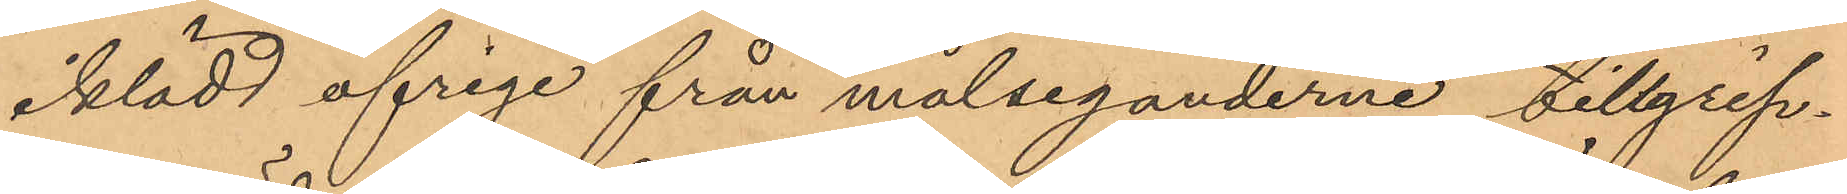iklädd öfrige från målseganderne tillgrip¬
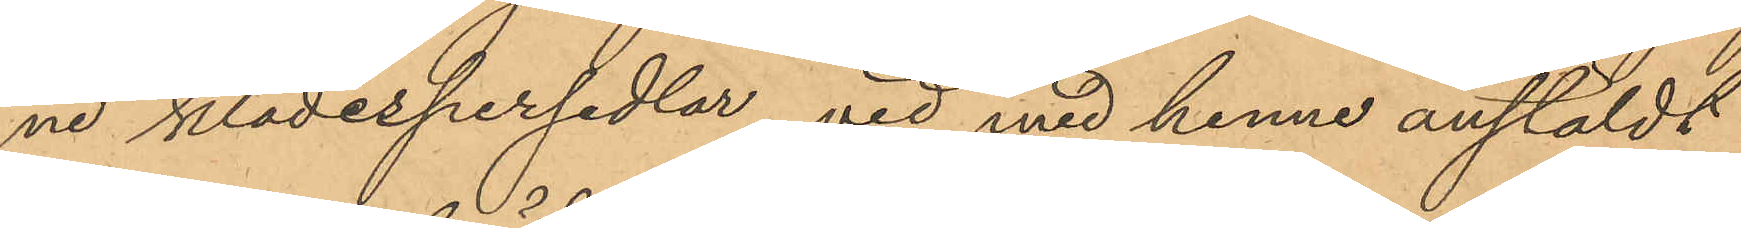ne klädespersedlar, vid med henne anstäldt
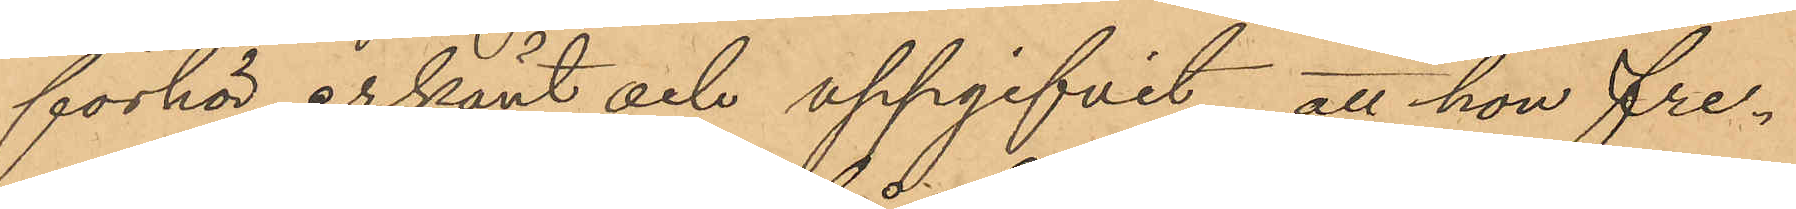förhör erkänt och uppgifvit, att hon fre¬
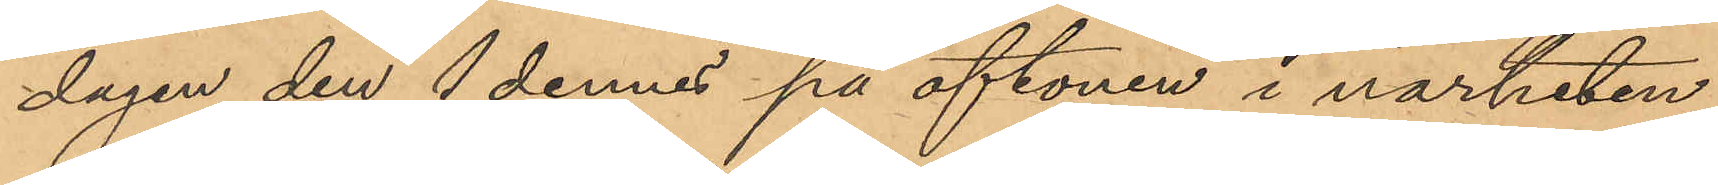dagen den 1 dennes på aftonen i närheten
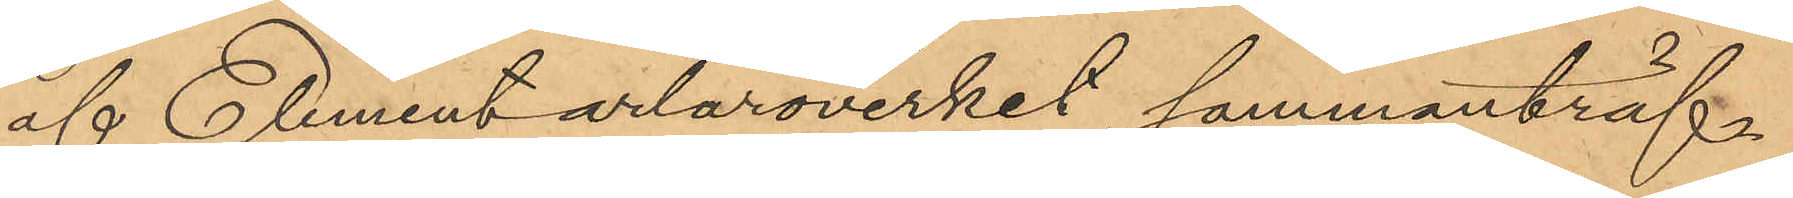af Elementarläroverket sammanträf¬
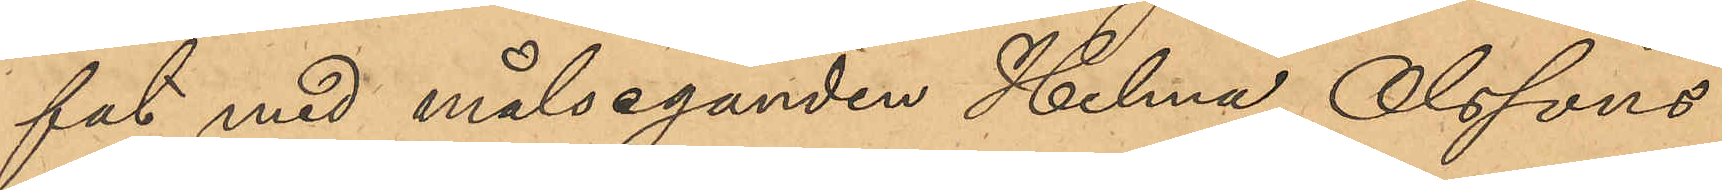fat med målseganden Helma Olssons
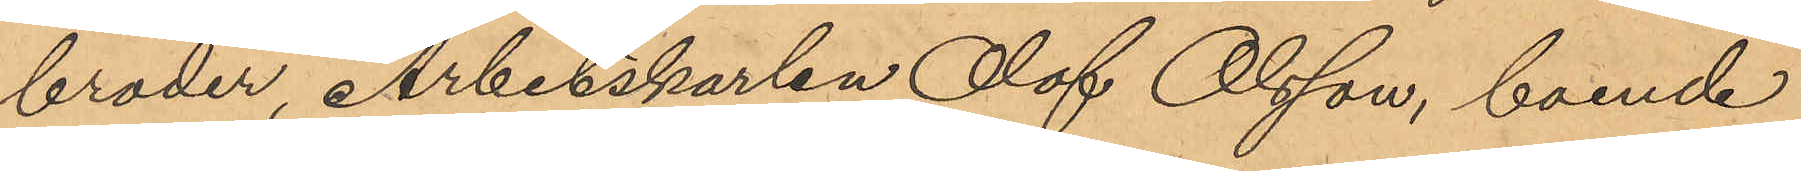broder, Arbesskarlen Olof Olsson, boende
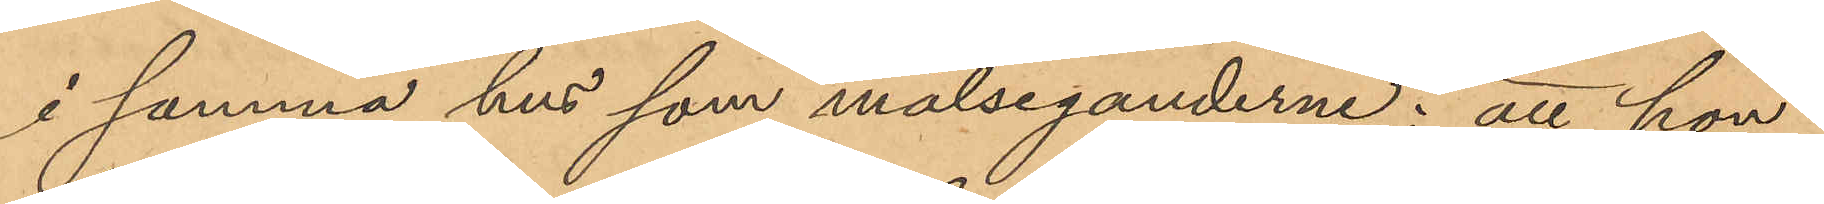i samma hus som målseganderne; att hon
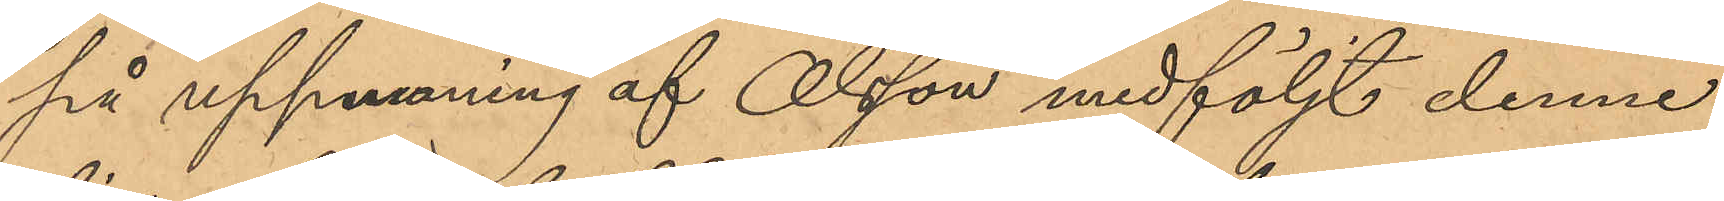på uppmaning af Olsson medföljt denne
